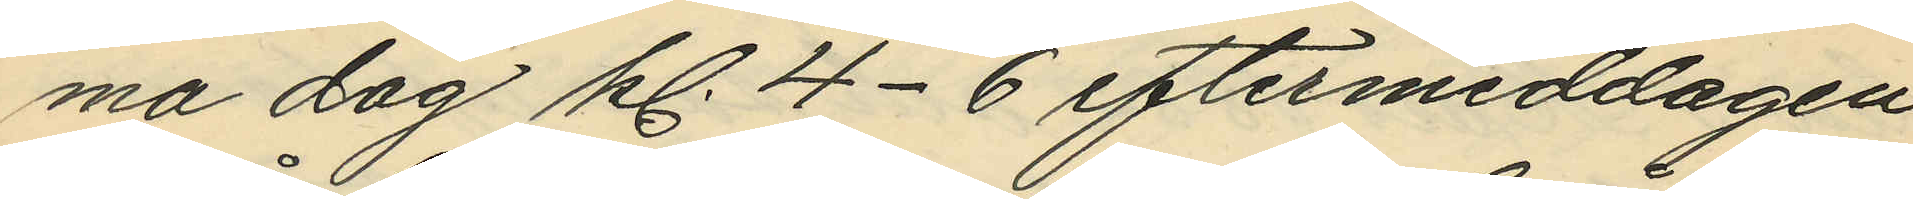ma dag kl. 4-6 eftermiddagen
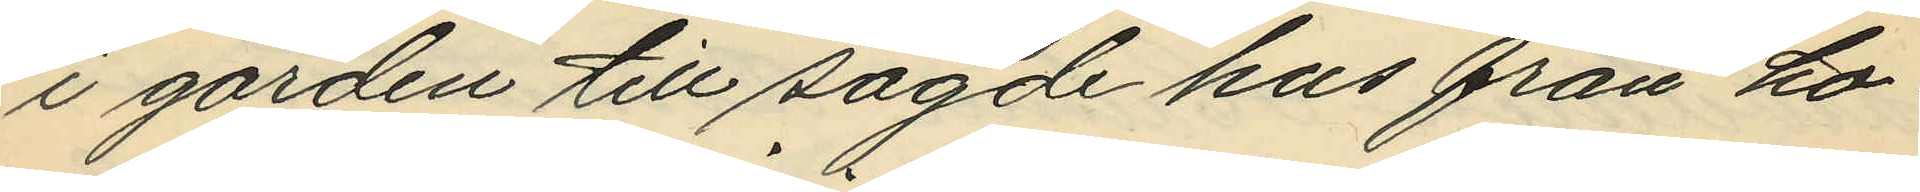i gården till sagde hus från ho¬
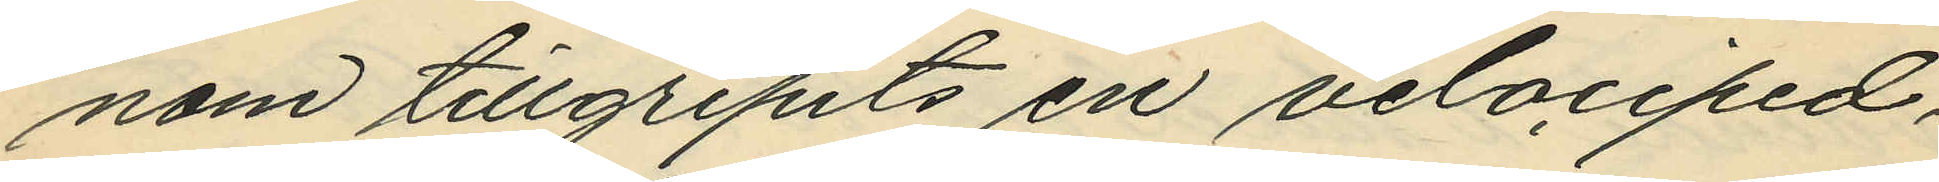nom tillgripits en velociped,
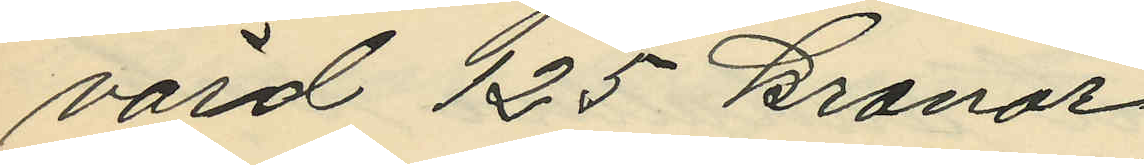värd 125 kronor.
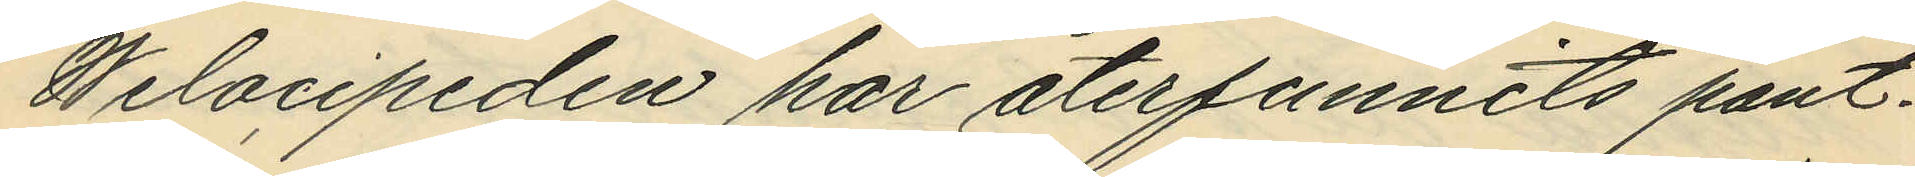Welocipeden har återfunnits pant¬
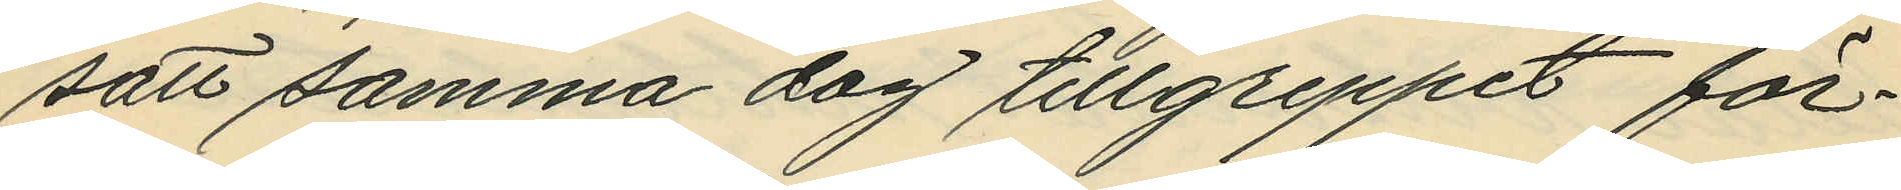satt samma dag tillgreppet för¬
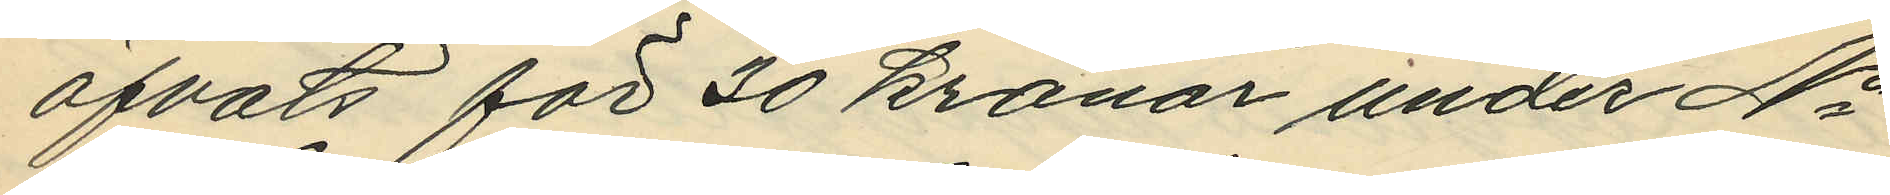öfvats för 30 kronor under No
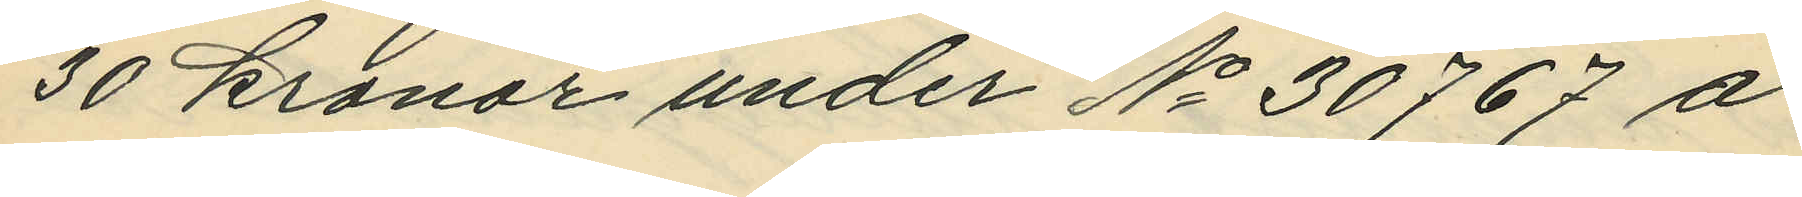30 kronor under No 30767 å
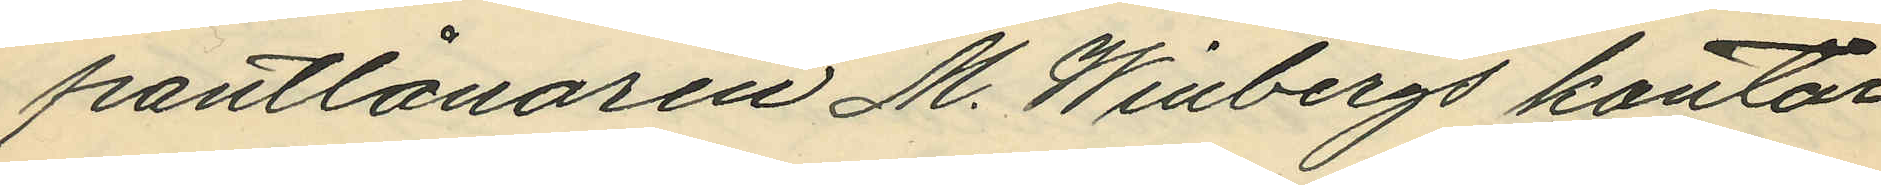pantlånaren M. Winbergs kontor
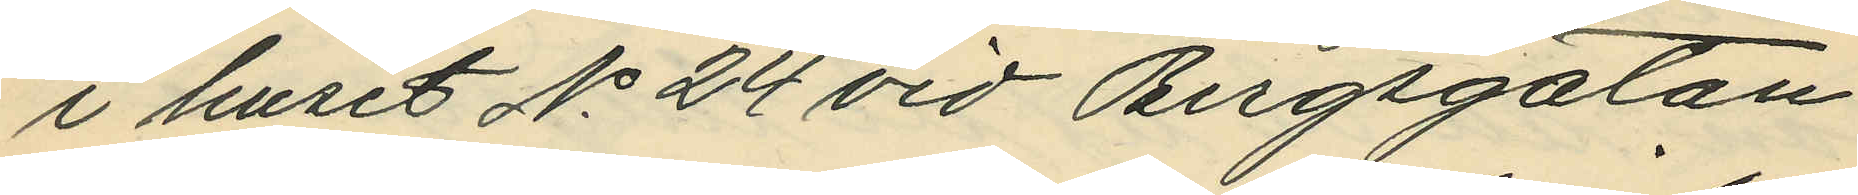i huset No 24 vid Bergsgatan
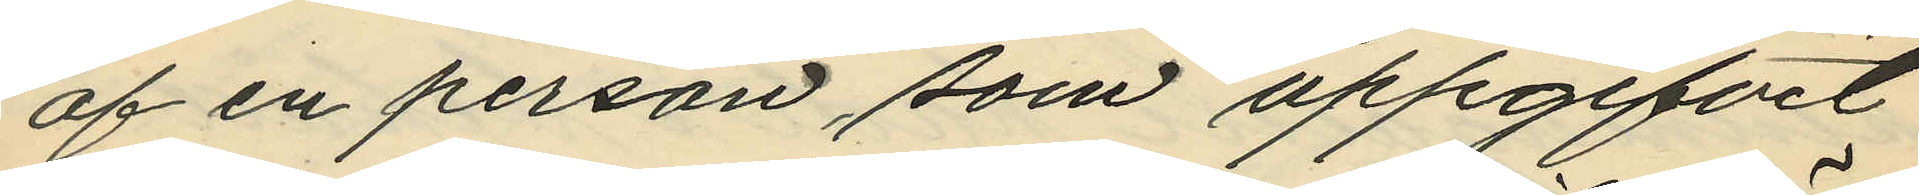af en person, som uppgifvit
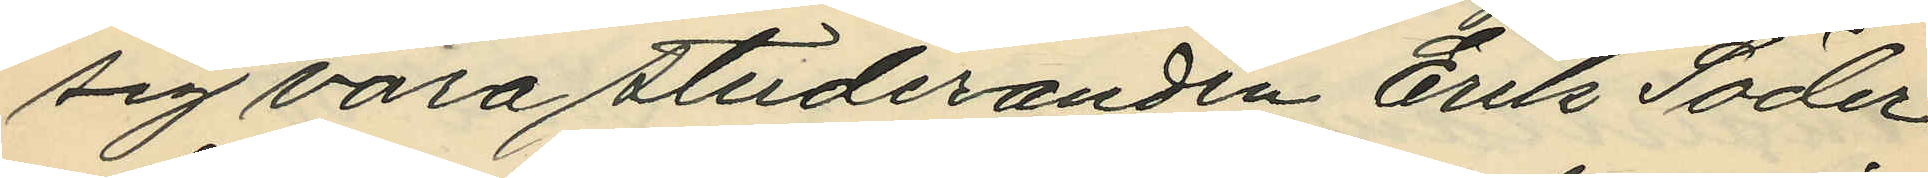sig vara studeranden Erik Söder¬
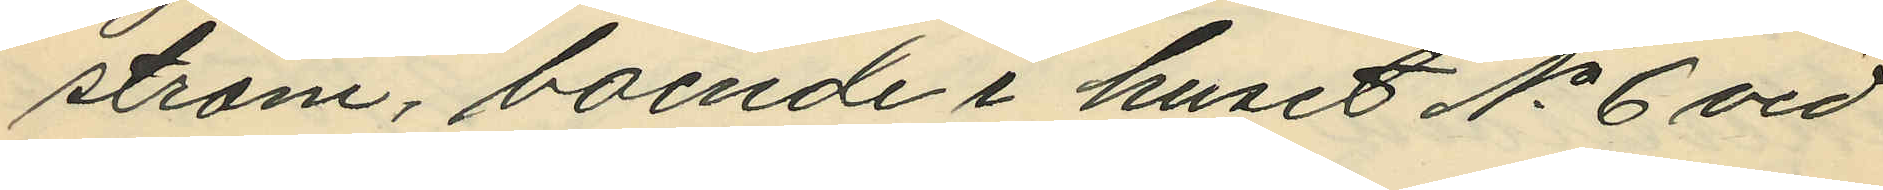ström, boende i huset No 6 vid
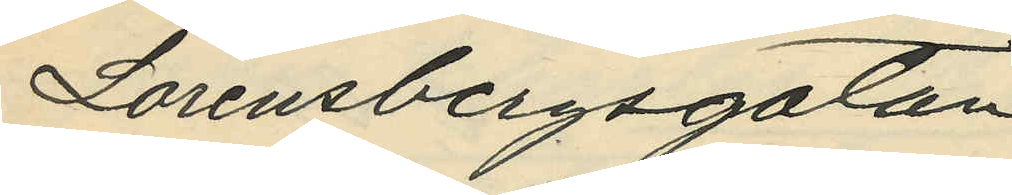Lorensbergsgatan.
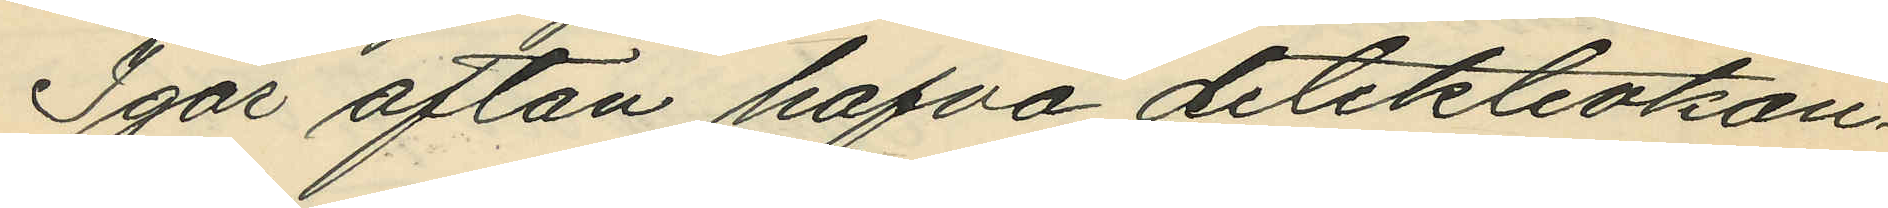Igår afton hafva detektivkon¬
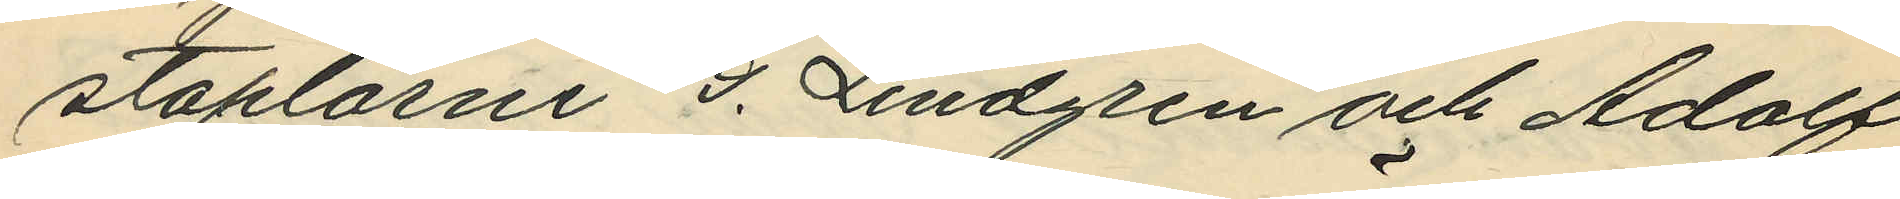staplarne G. Lindgren och Adolf
